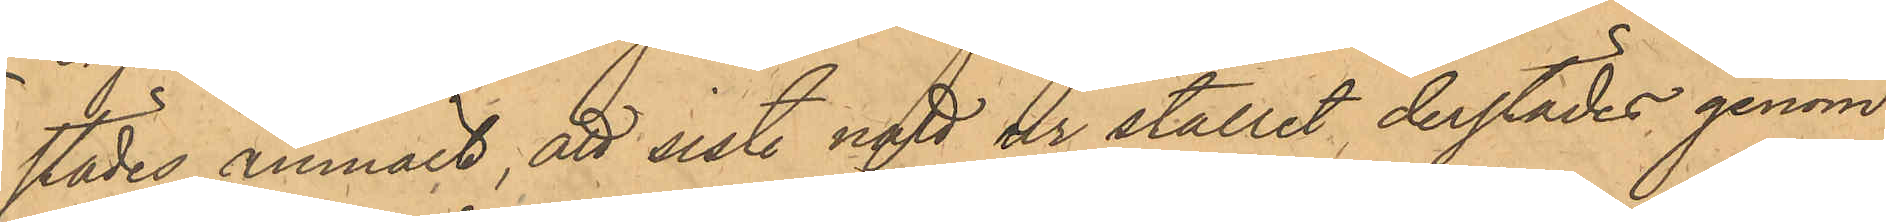städes anmält, att sist. natt ur stallet derstädes genom
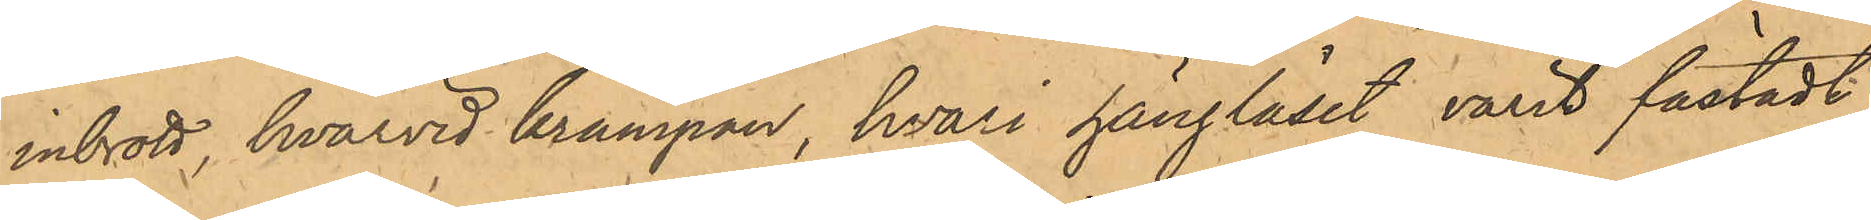inbrott, hvarvid krampan, hvari hänglåset varit fästadt,
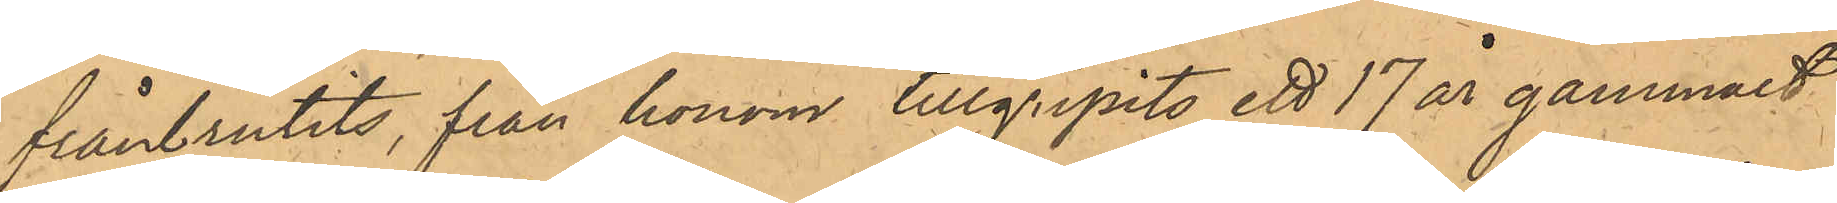frånbrutits, från honom tillgripits ett 17 år gammalt
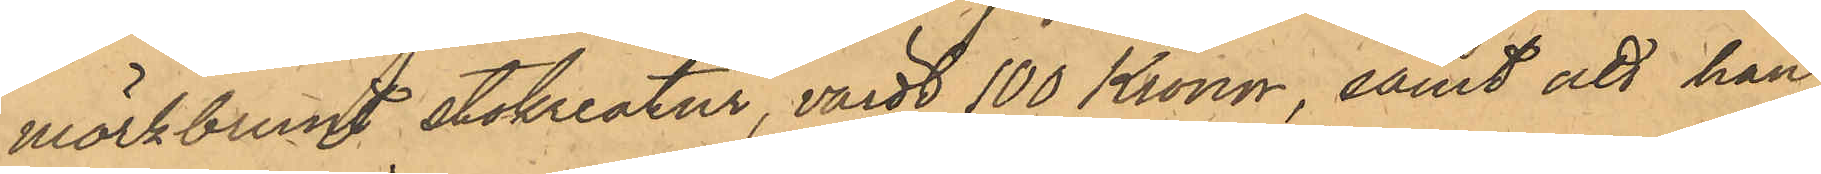mörkbrunt stokreatur, värdt 100 Kronor, samt att han
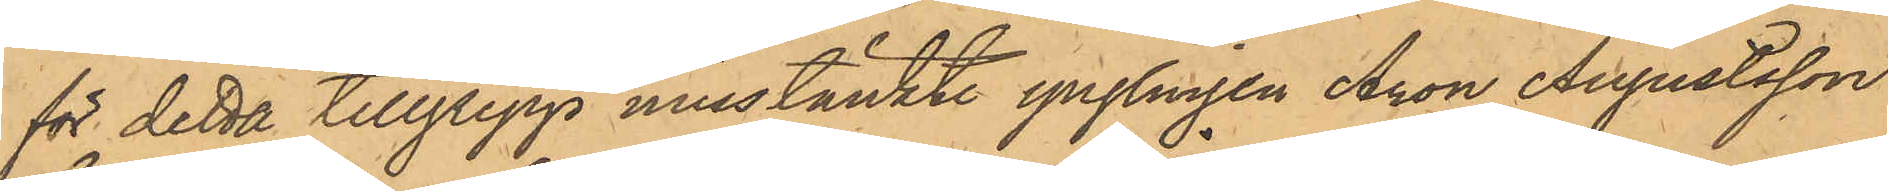för detta tillgrepp misstänkte ynglingen Aron Augustsson
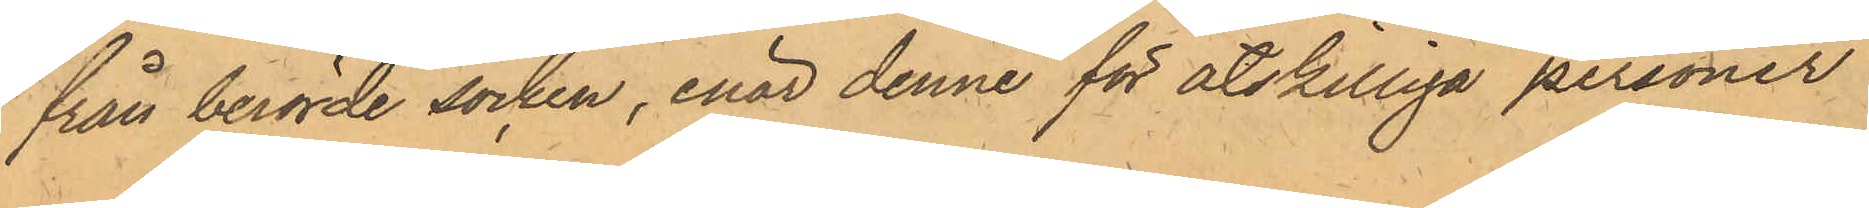från berörde socken, enär denne för åtskilliga personer
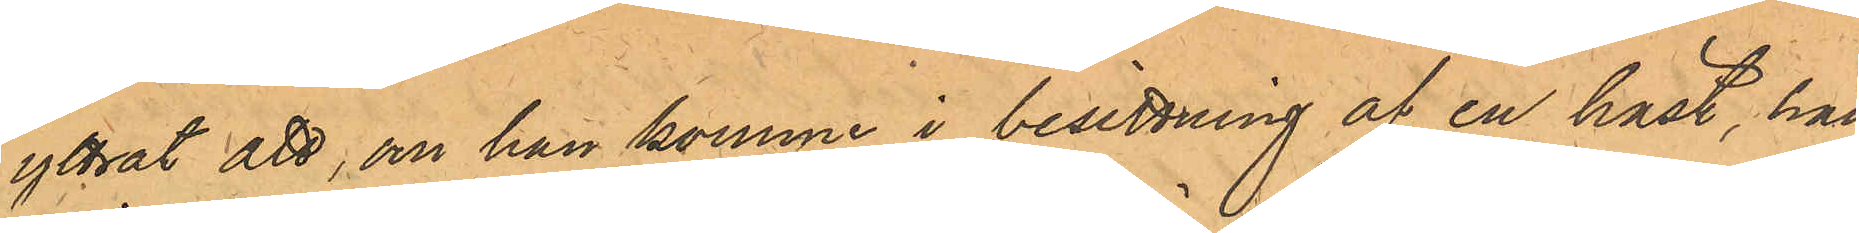yttrat att, om han komme i besittning af en häst, han
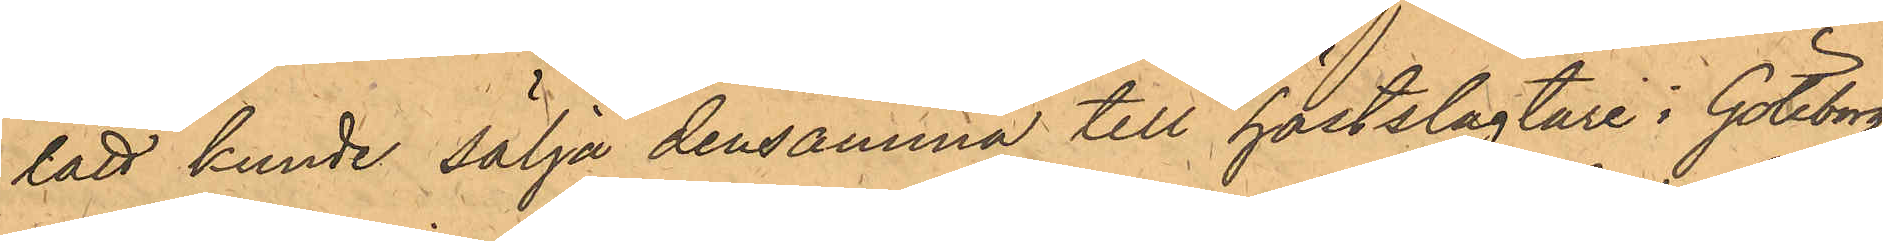lätt kunde sälja densamma till hästslagtare i Göteborg.
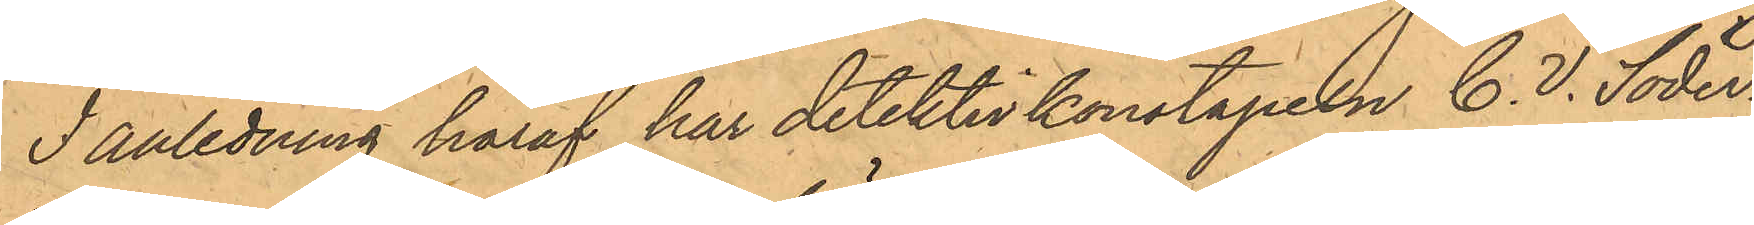I anledning häraf har detektivkonstapeln C. V. Söder¬
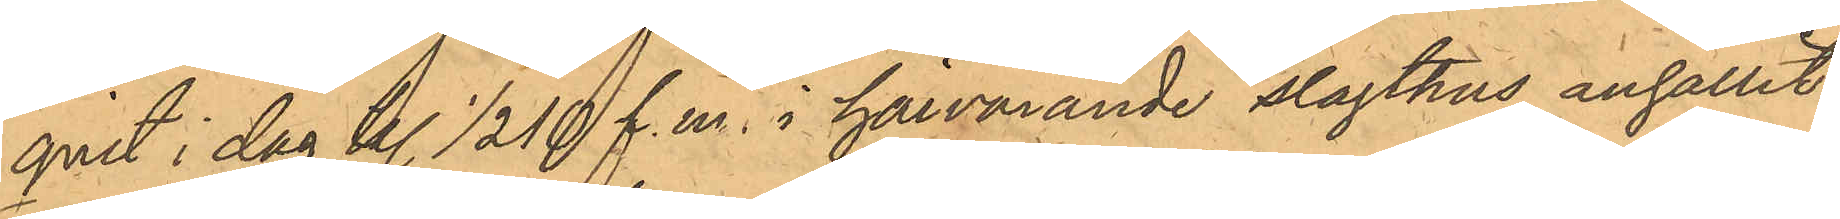qvist i dag kl. 1/2 10 f.m. i härvarande slagthus anhållit
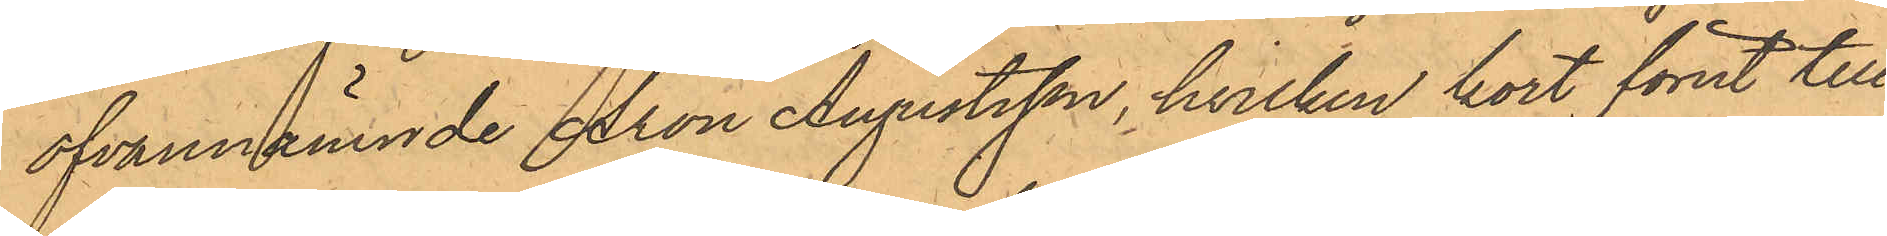ofvannämnde Aron Augustsson, hvilken kort förut till
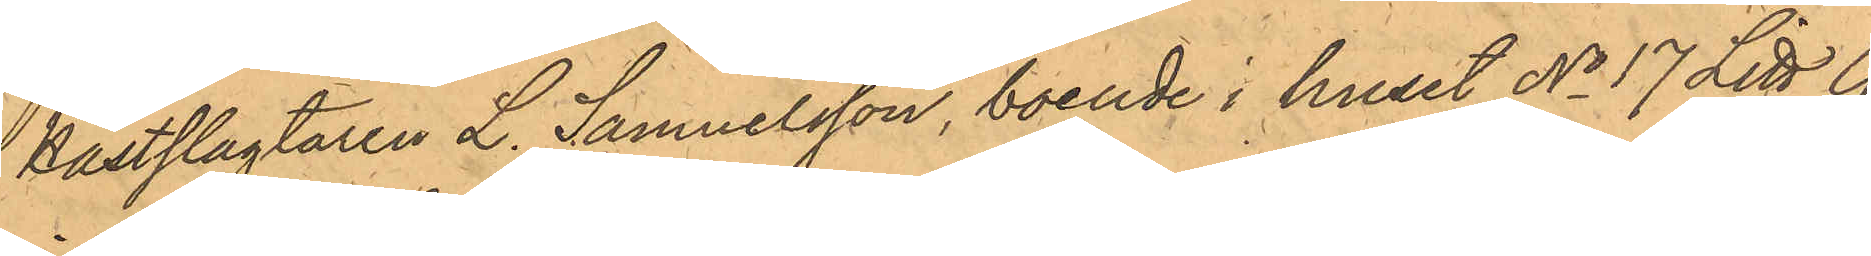Hästslagtaren L. Samuelsson, boende i huset No 17 Litt Q
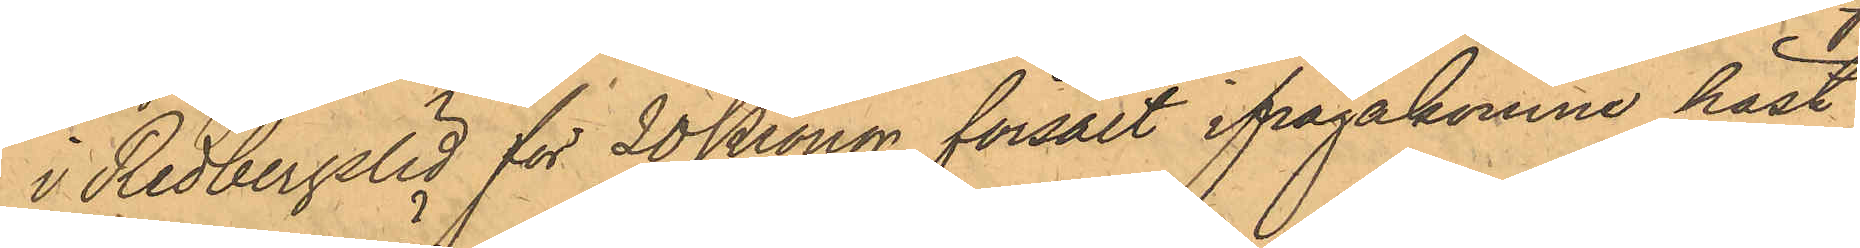i Redbergslid för 20 Kronor försålt ifrågakomne häst,
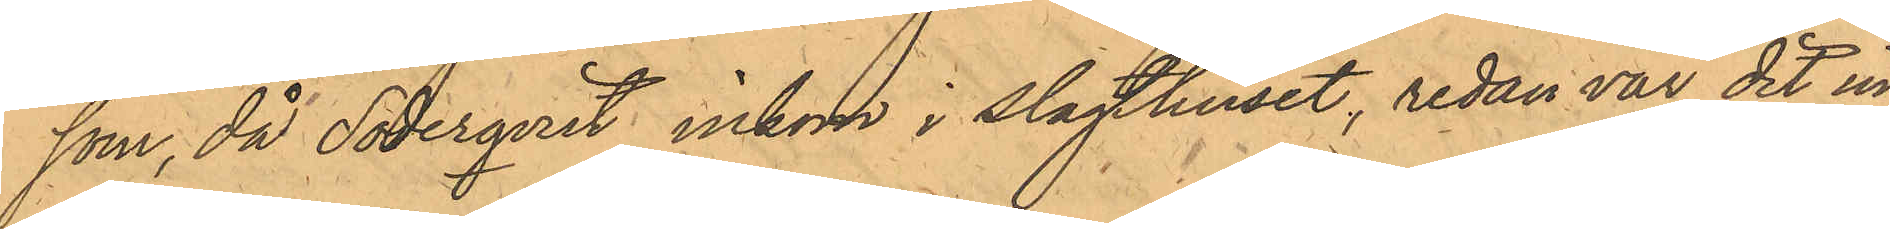som, då Söderqvist inkom i slagthuset, redan var dit in¬
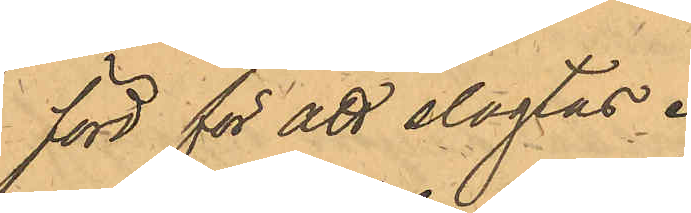förd för att slagtas.
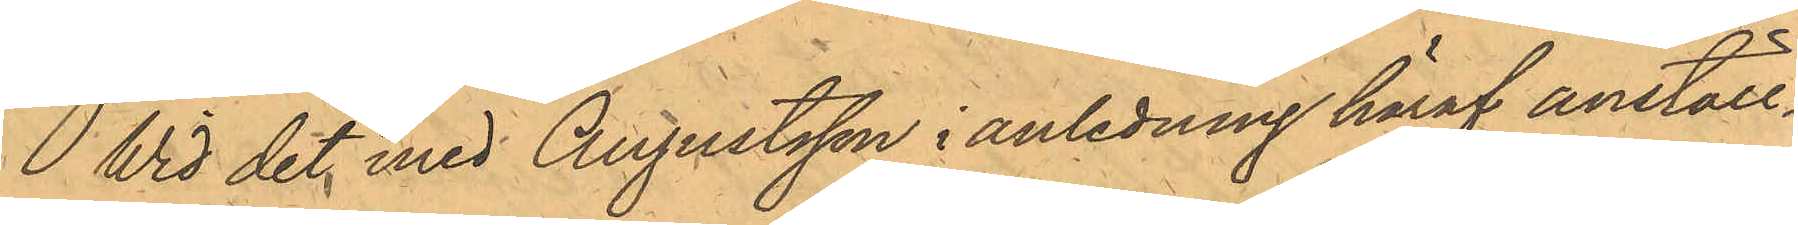Wid det med Augustsson i anledning häraf anställ¬
